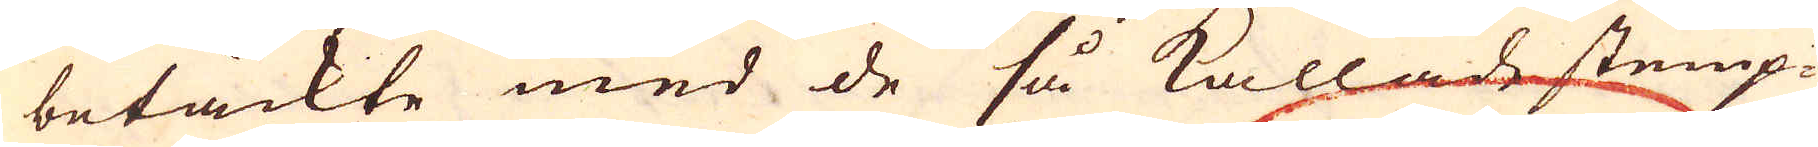betäckte med de så kallade stemp-
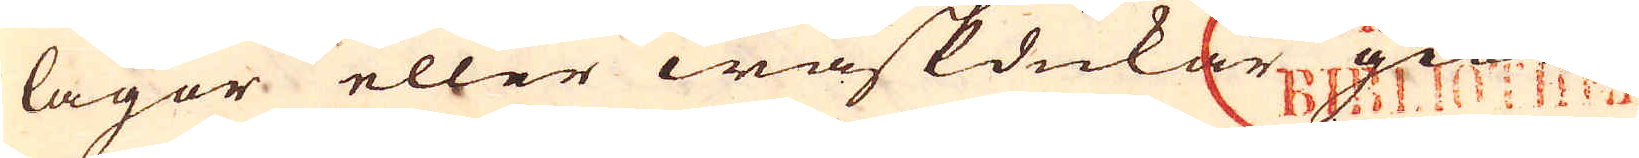lagor eller waskdukar giorde
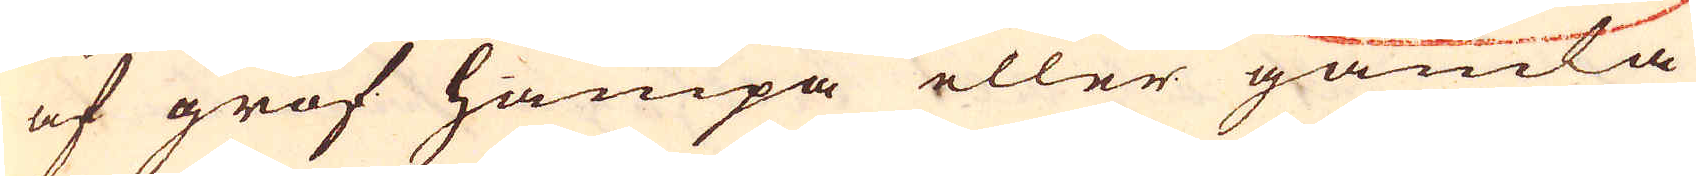af grof hampa eller gamla
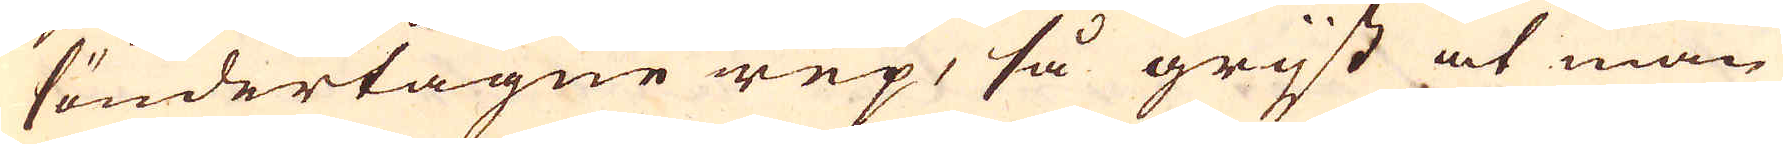söndertagne rep, så grijst at man
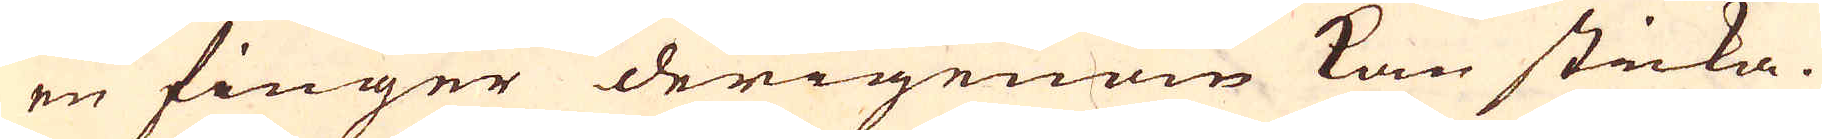en finger derigenom kan sticka.
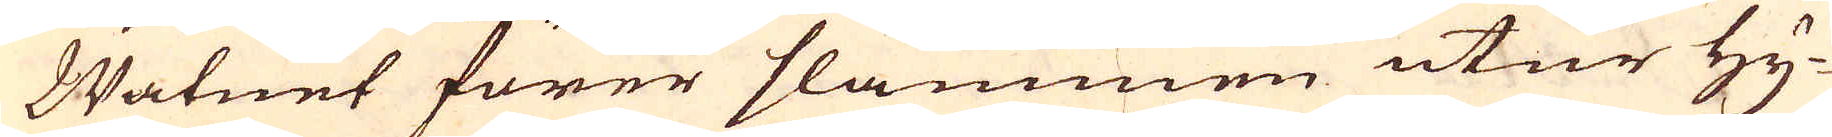Watnet förer slammen utur Hy-
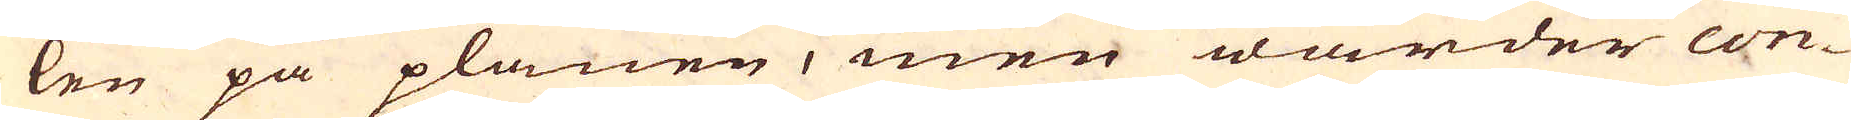len på planen, men warder con-
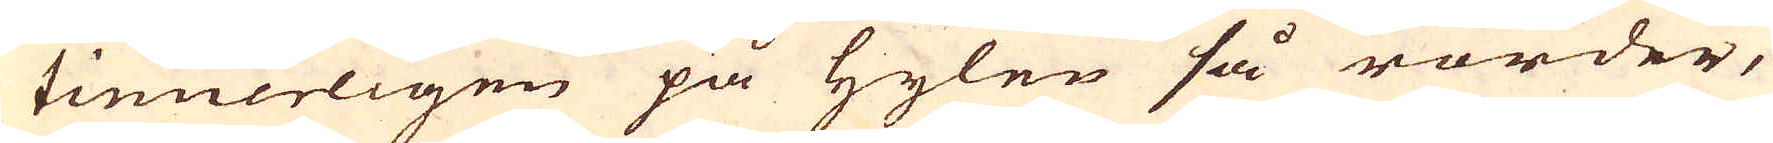tinuerligen på Hylen så rörder,
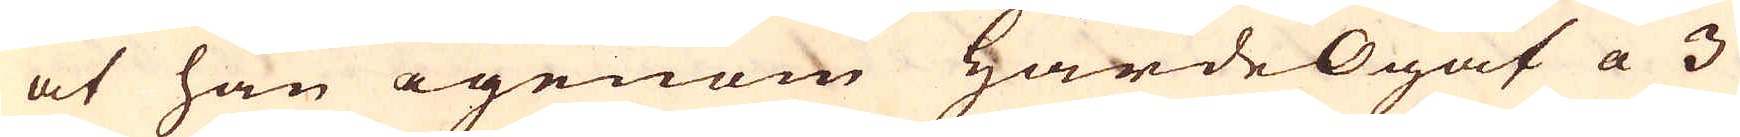at han igenom Härde Ögat a 3
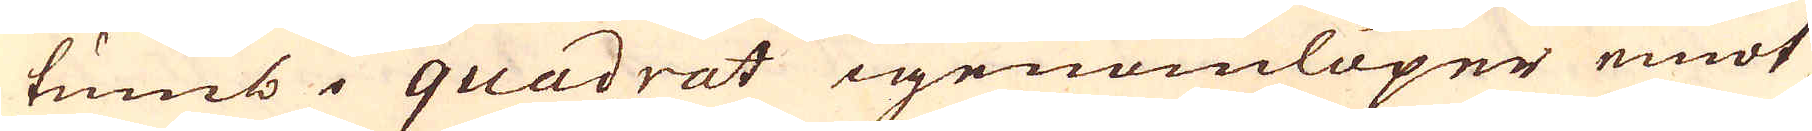tumb i quadrat igenomlöper emot
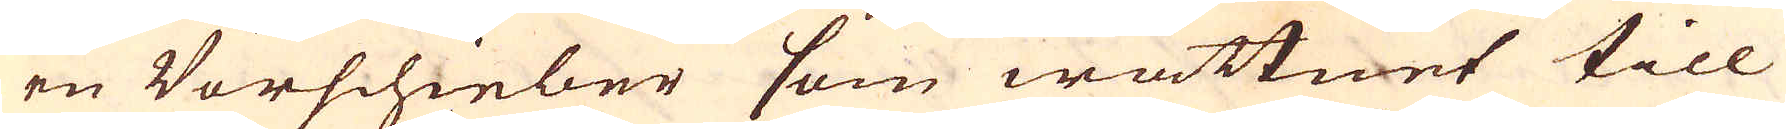en Vorschieber som wattnet till
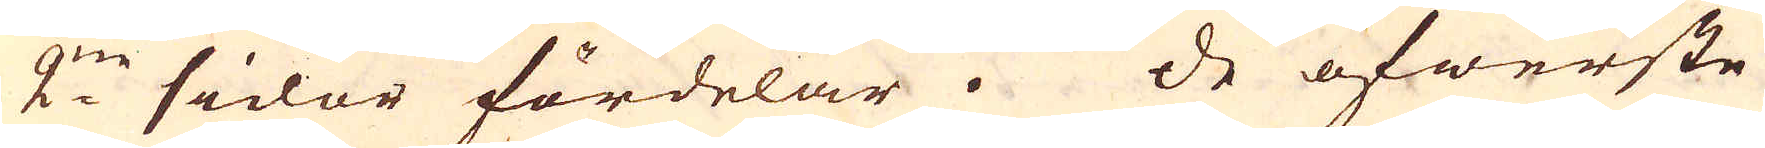2:ne sidor fördelar. De öfwerste
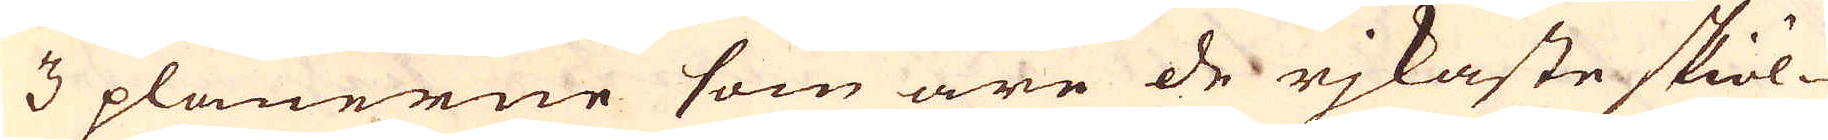3 planerne som äre de rjkaste skiöl-
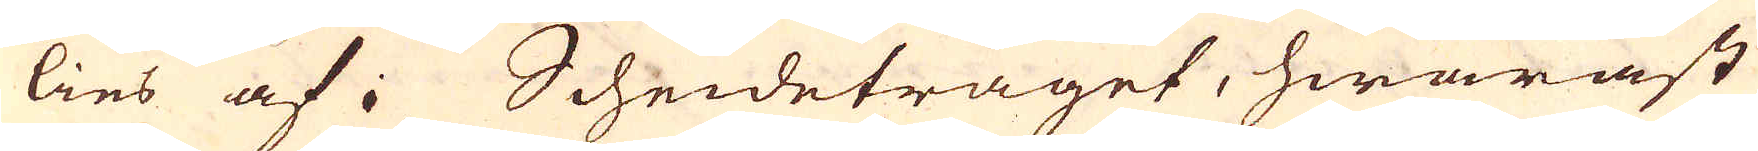lies af i Scheidetråget, hwaräst
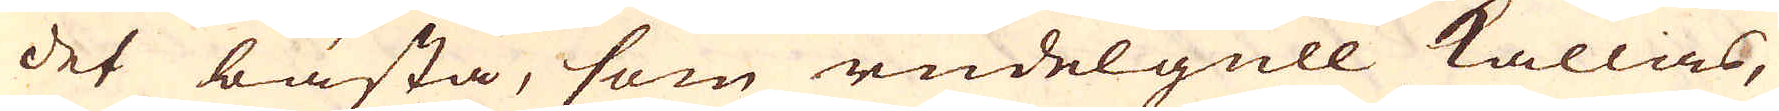det bästa, som rudelgull kallas,
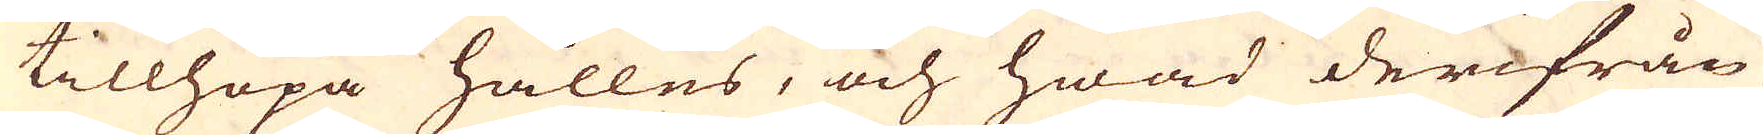tillhopa hålles, och hwad derifrån
